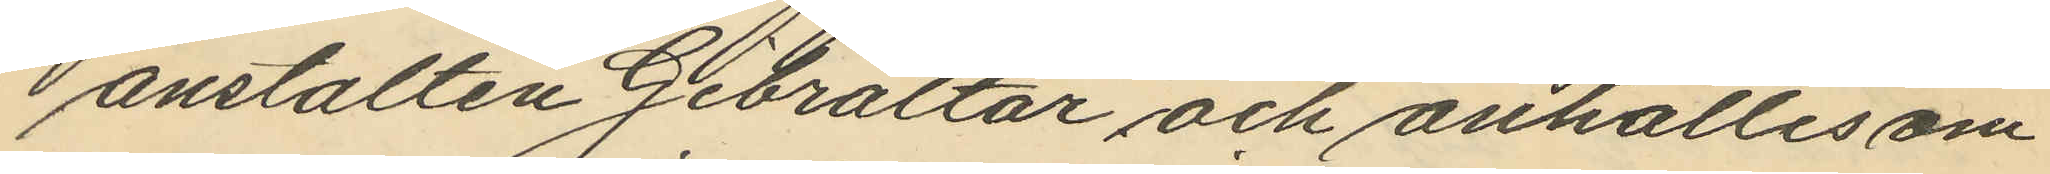anstalten Gibraltar och anhålles om
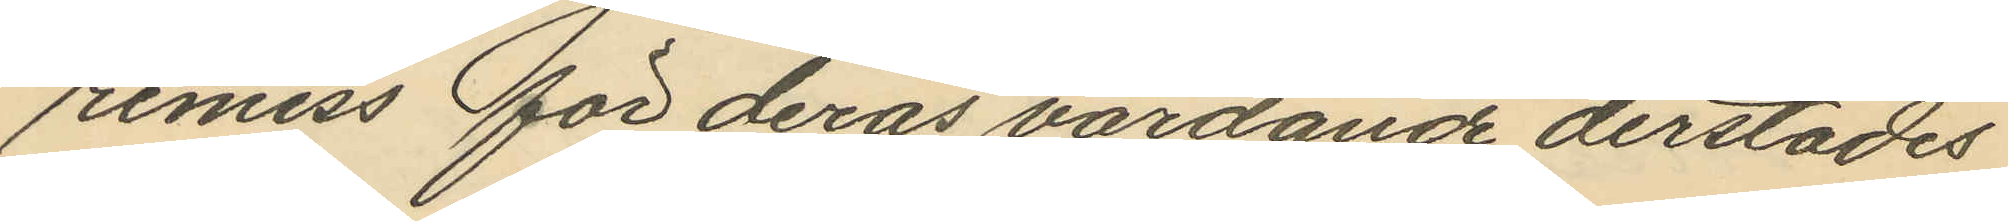remiss för deras vårdande derstädes
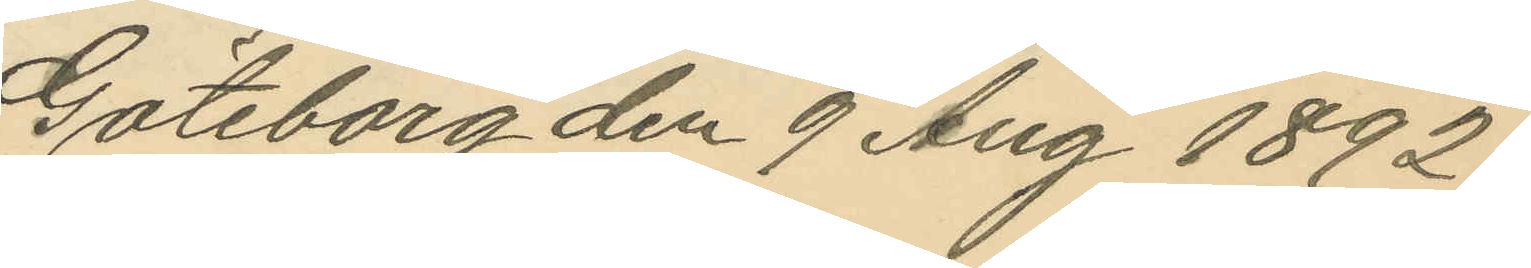Göteborg den 9 Aug 1892.
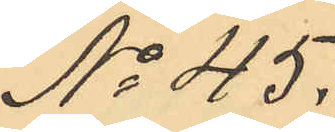No 45.
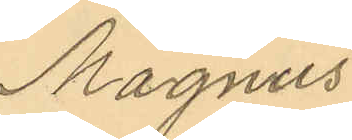Magnus
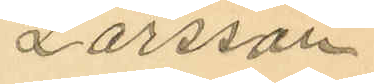Larsson
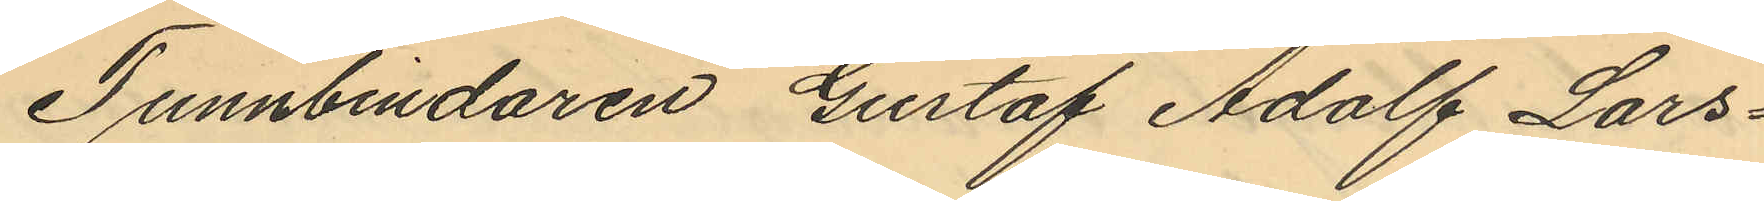Tunnbindaren Gustaf Adolf Lars¬
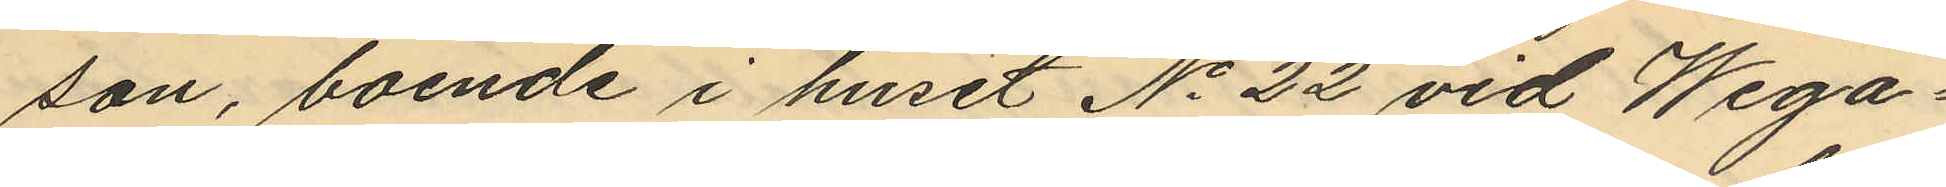son, boende i huset No 22 vid Wega¬
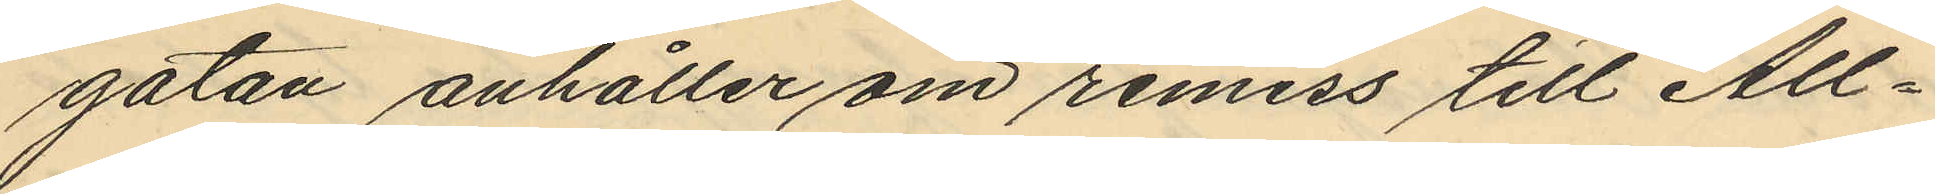gatan anhåller om remiss till All¬
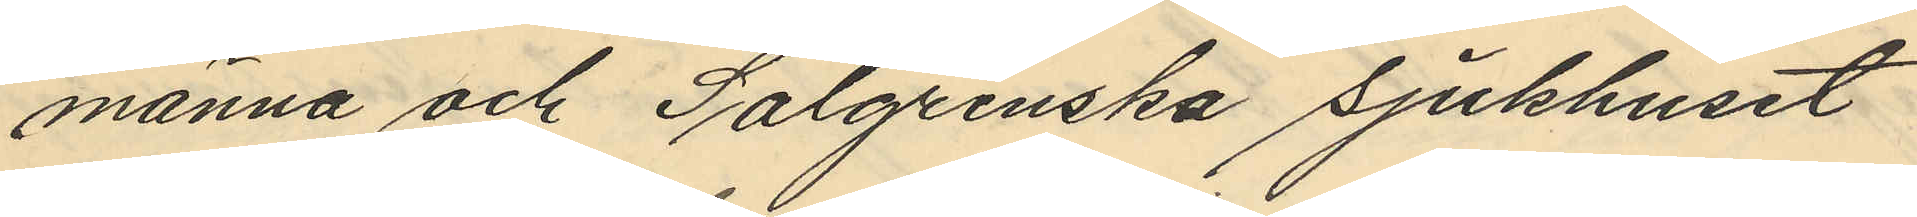männa och Salgrenska sjukhuset
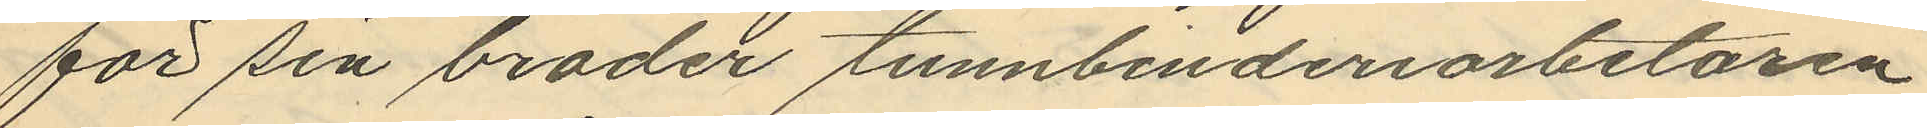för sin broder tunnbinderiarbetaren
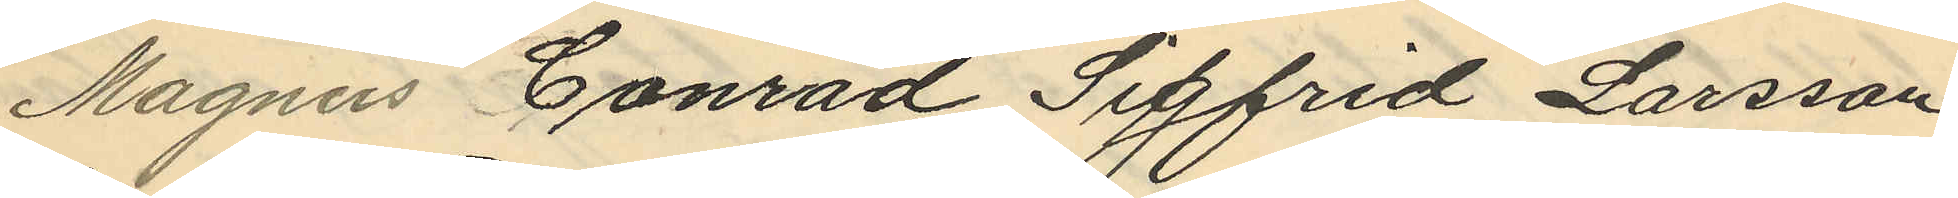Magnus Conrad Sigfrid Larsson
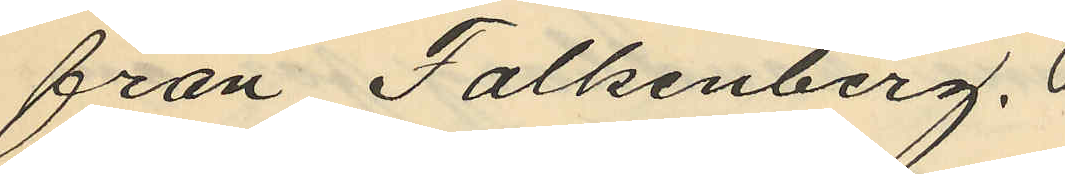från Falkenberg.
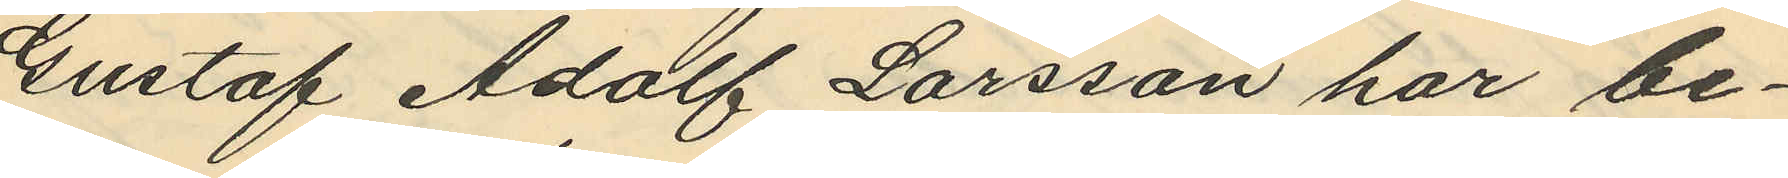Gustaf Adolf Larsson har be¬
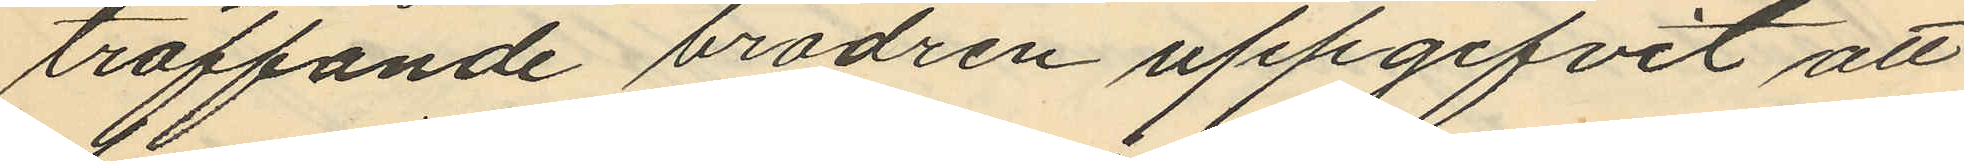träffande brodren uppgifvit att
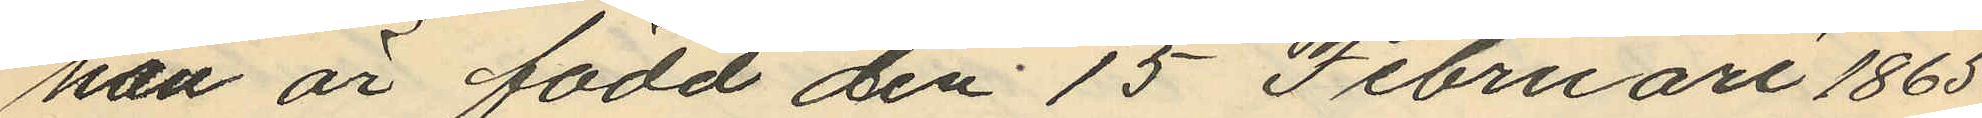han är född den 15 Februari 1865
